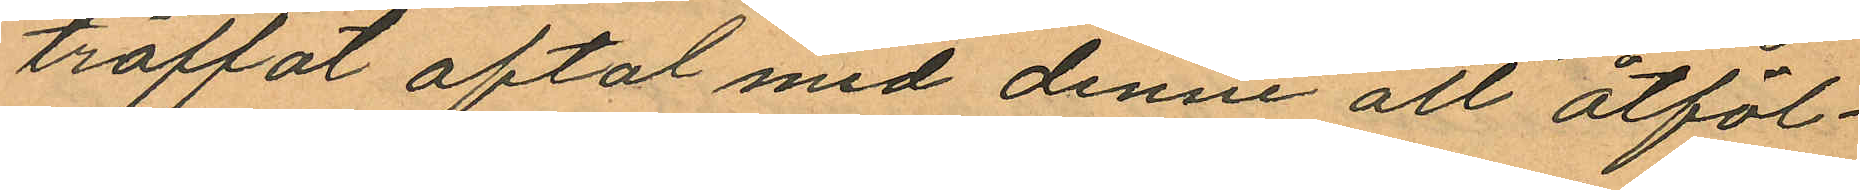träffat aftal med denne att åtföl¬
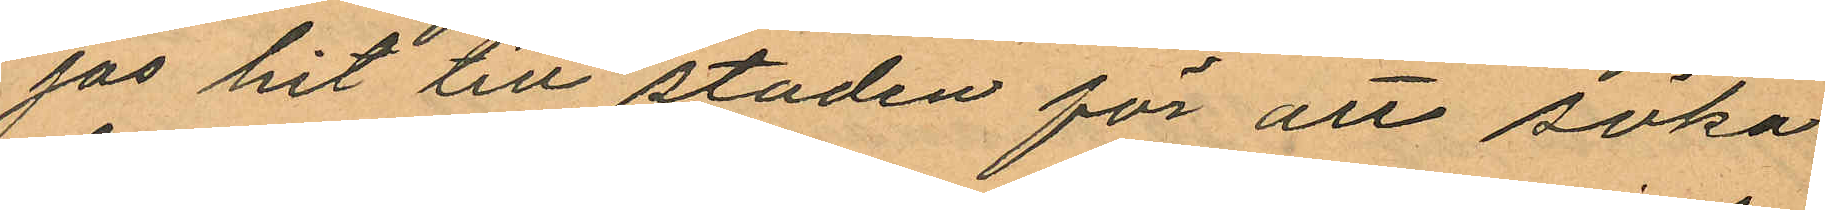jas hit till staden för än söka
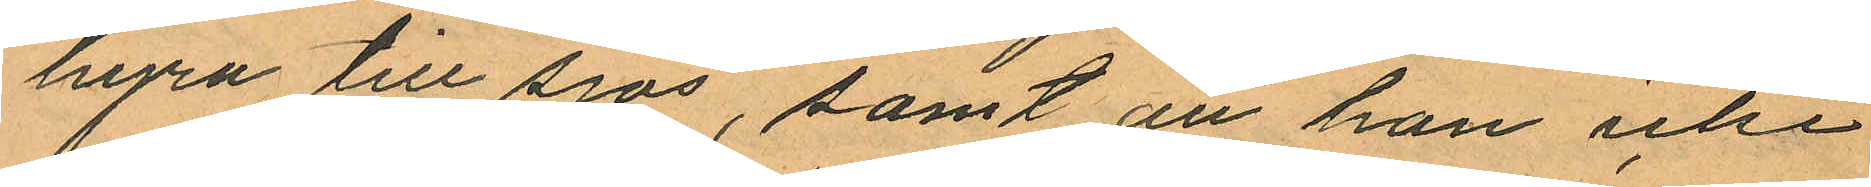hyra till sjös, samt att han icke
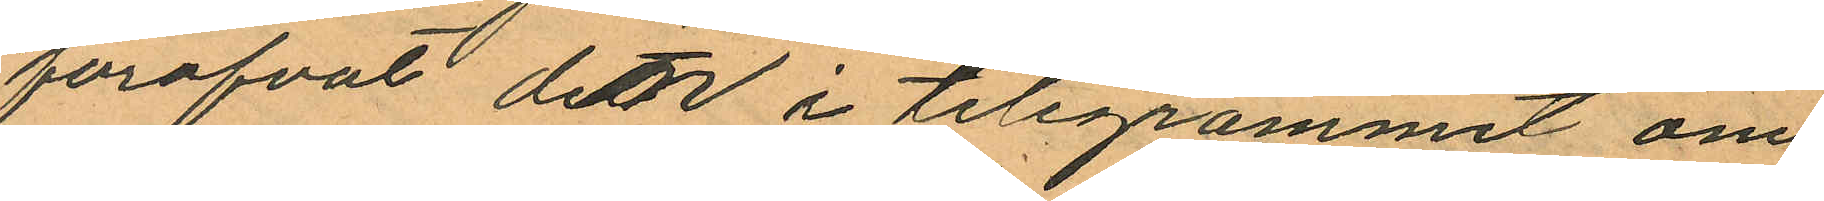föröfvat den i telegrammet om
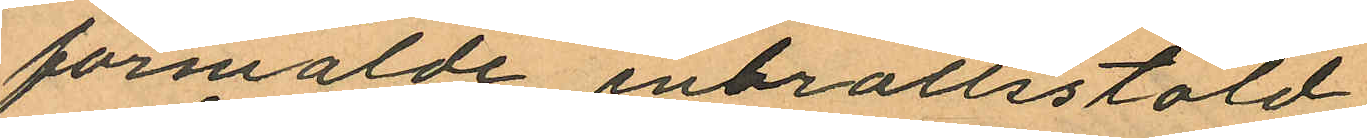förmälde inbrottsstöld.
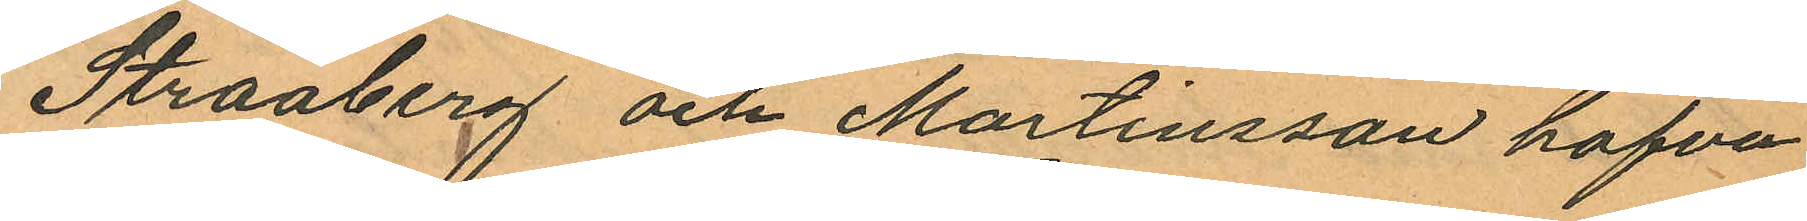Straaberg och Martinsson hafva
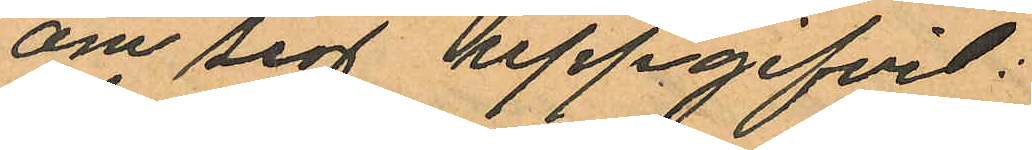om sigt uppgifvit:
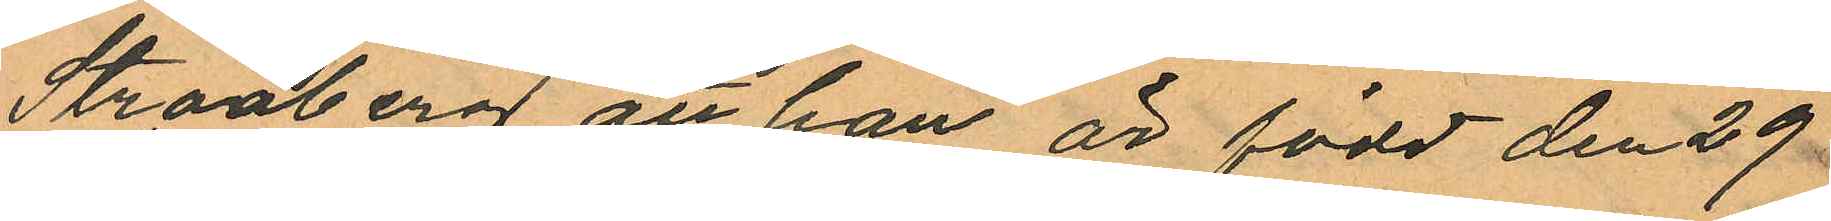Straaberg att han är född den 29
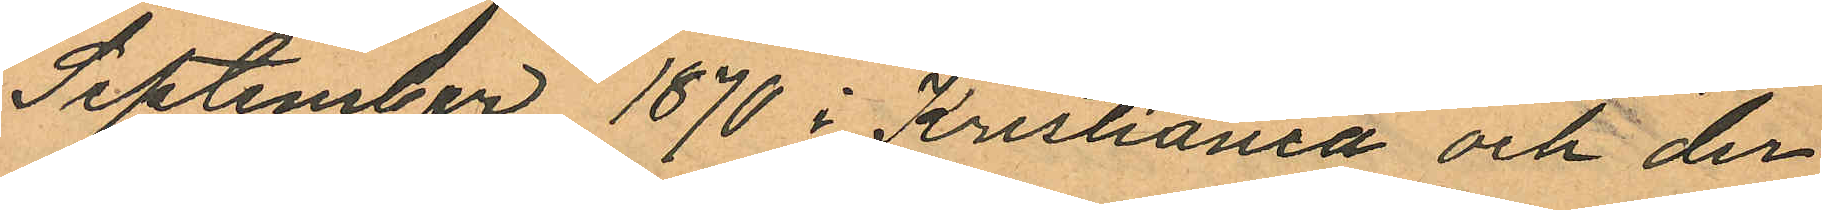September 1870 i Kristiania och der
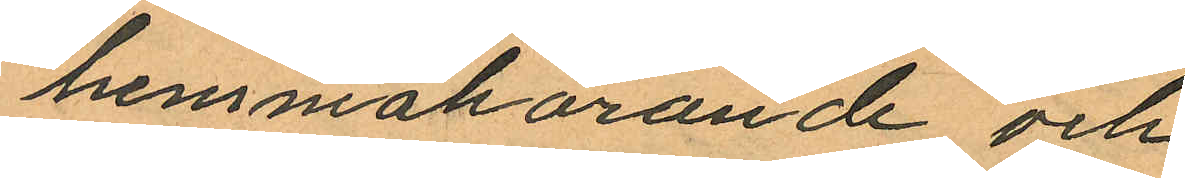hemmahörande och
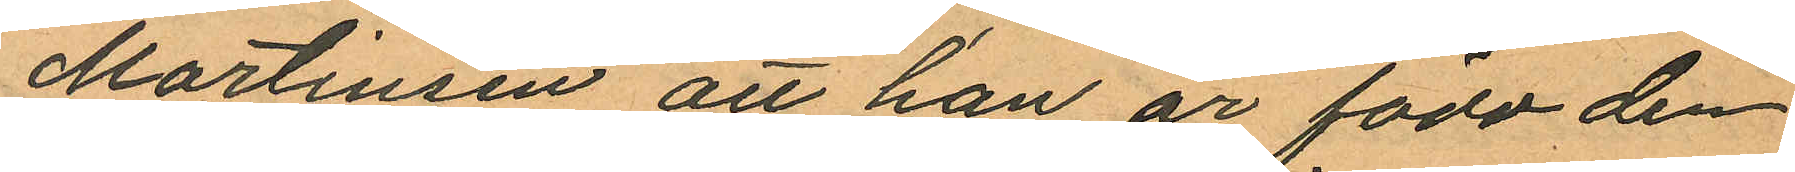Martinsen att han är född den
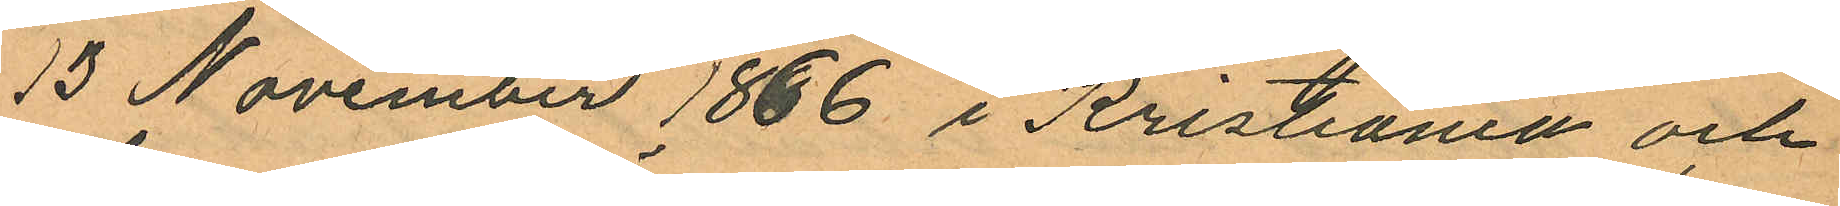13 November 1866 i Kristiania och
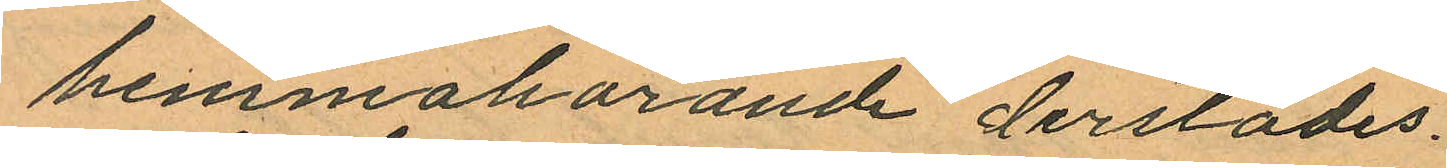hemmahörande derstädes.
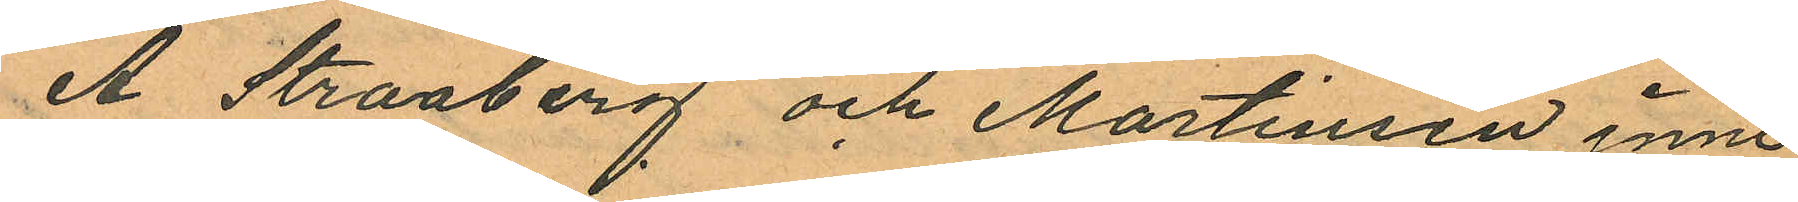A Straaberg och Martinsen inne
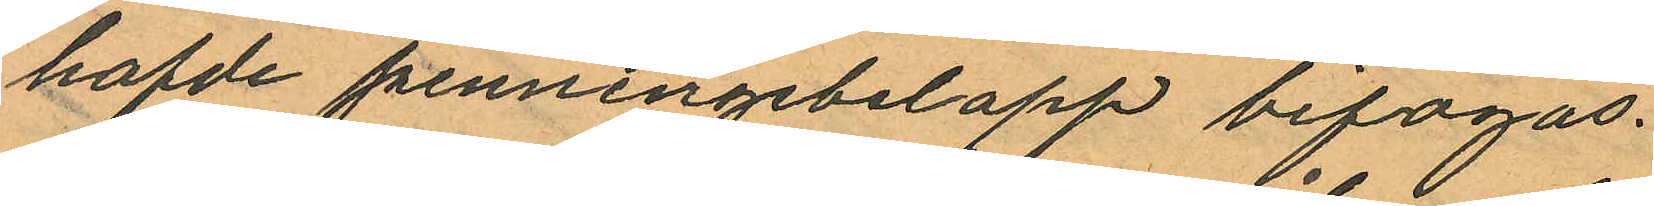hafde penningebelopp bifogas.
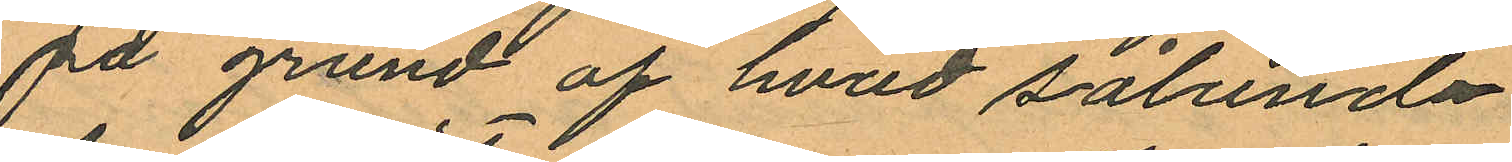På grund af hvad sålunda
